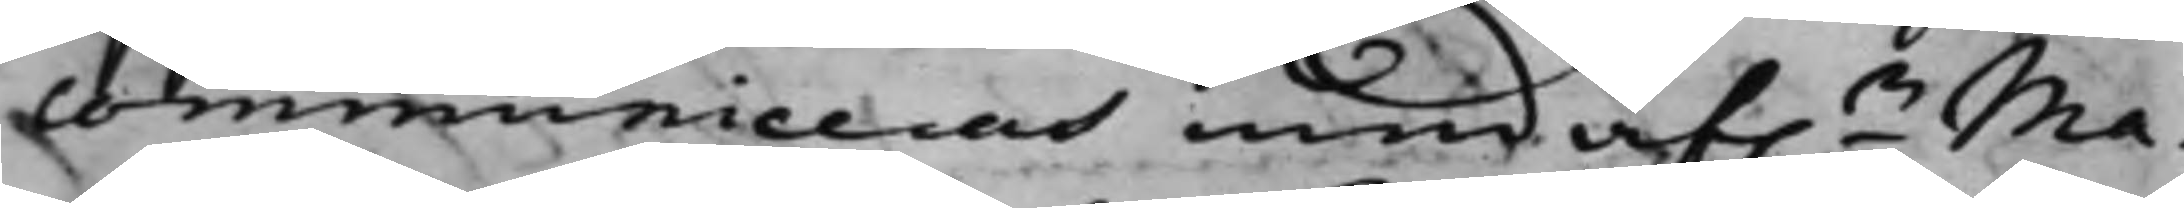communiceras med af.e Ma¬
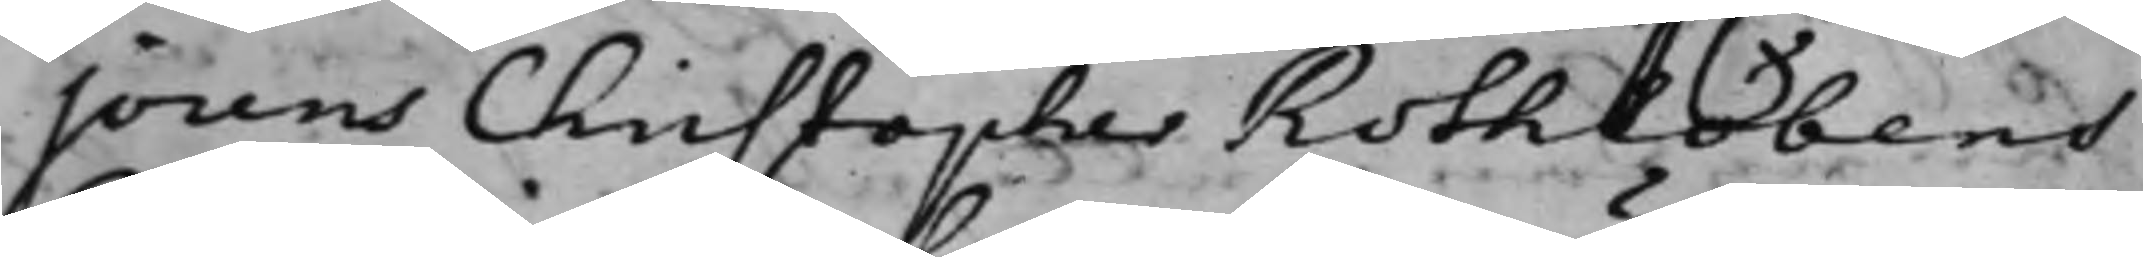jorens Christopher Rothlöbens
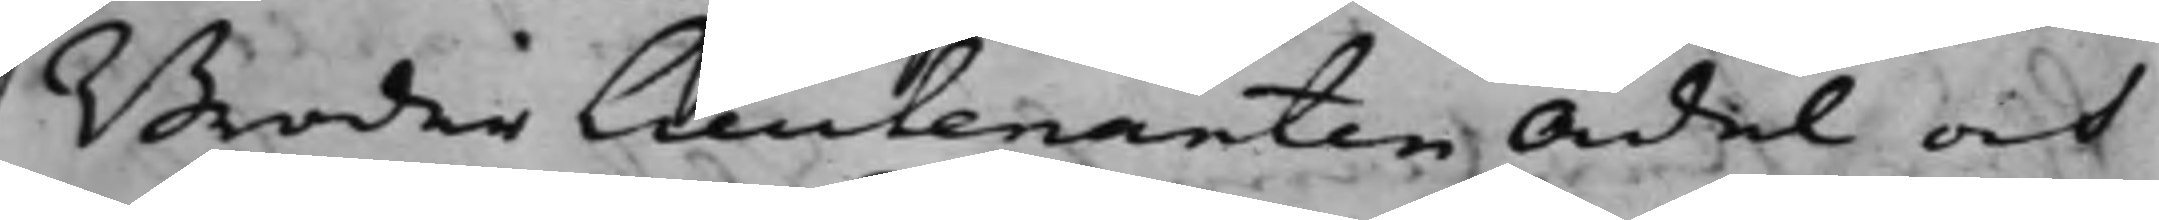Broder Lieutenanten Ädel och
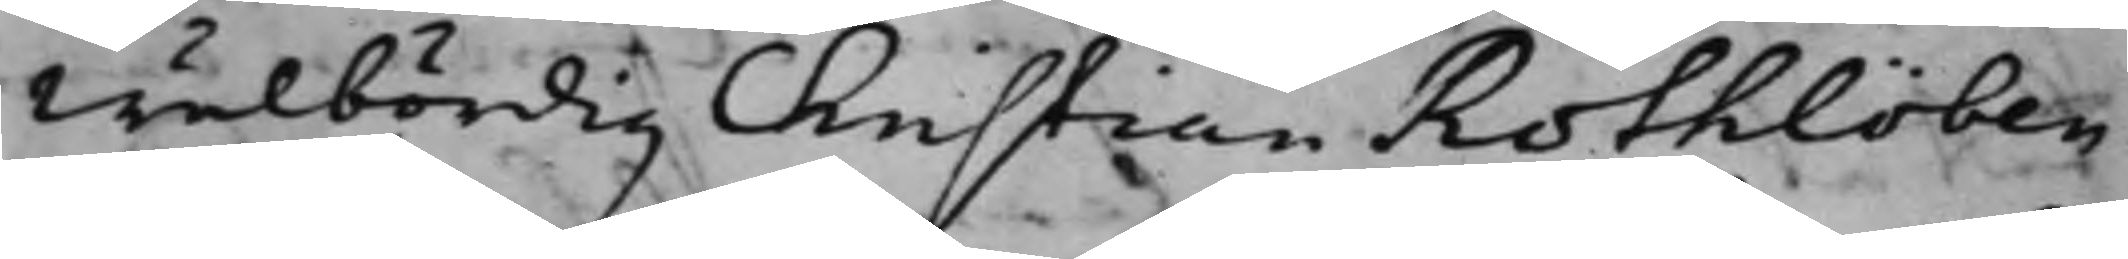Wälbördig Christian Rothlöben
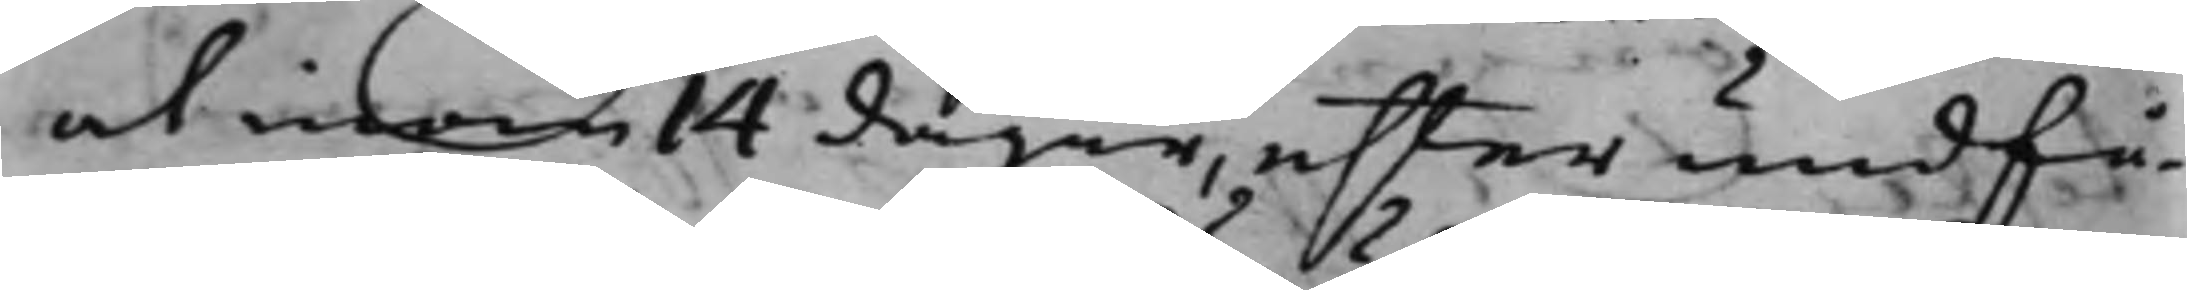at inom 14 dagar, efter undfå¬
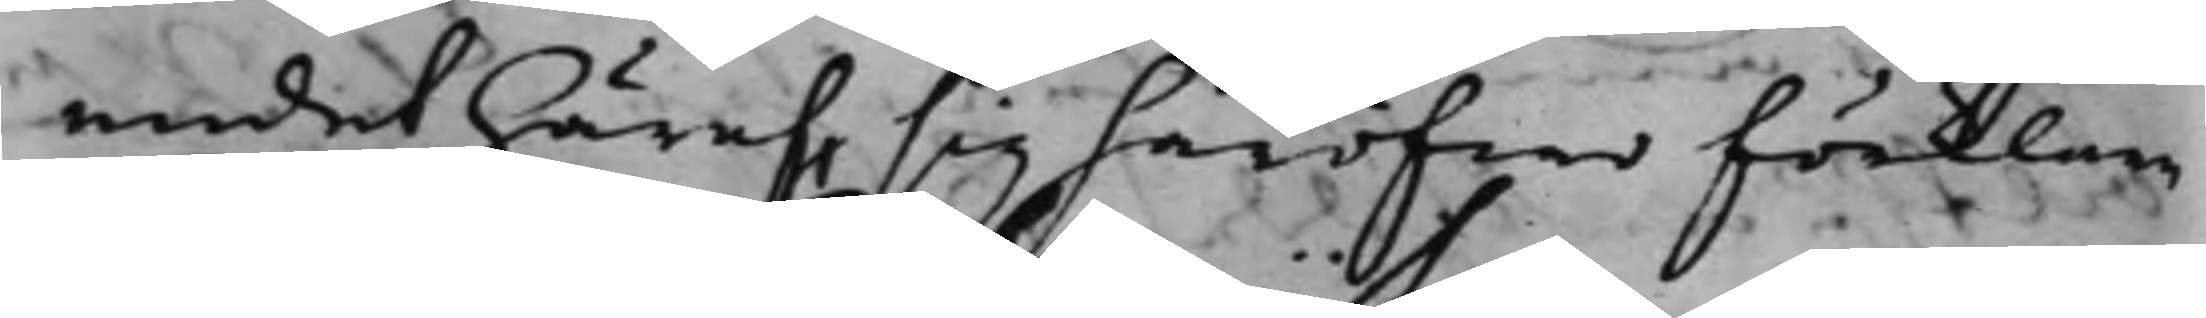endet häraf, sig häröfwer förklare
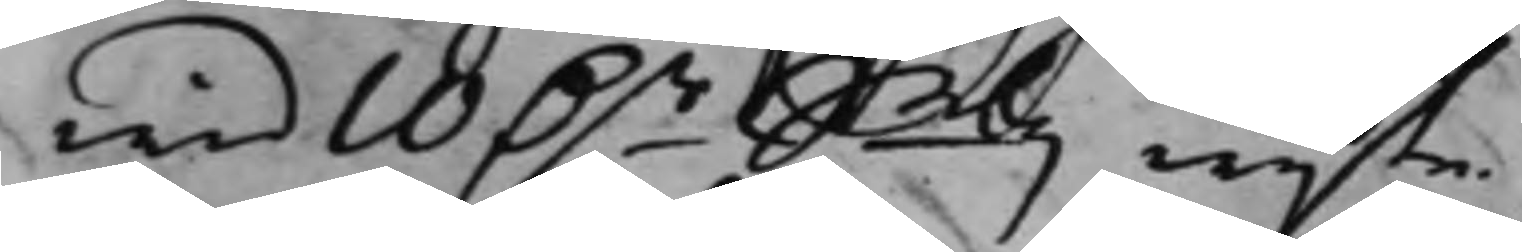wid 10 D.r Smtz wijte.
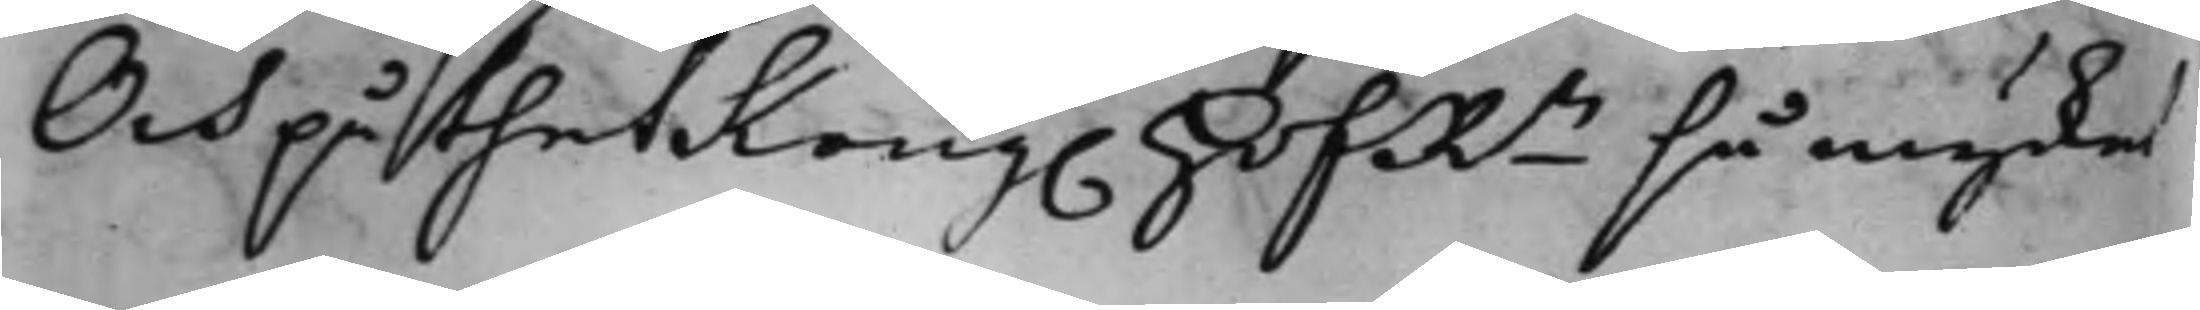Och på thet Kong. HofRn så mycket
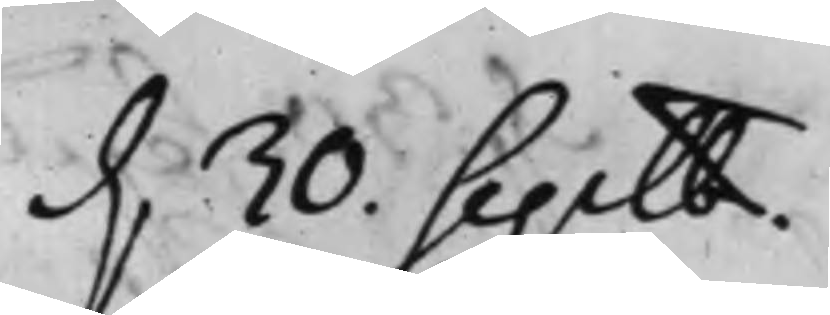d. 30. Septbr.
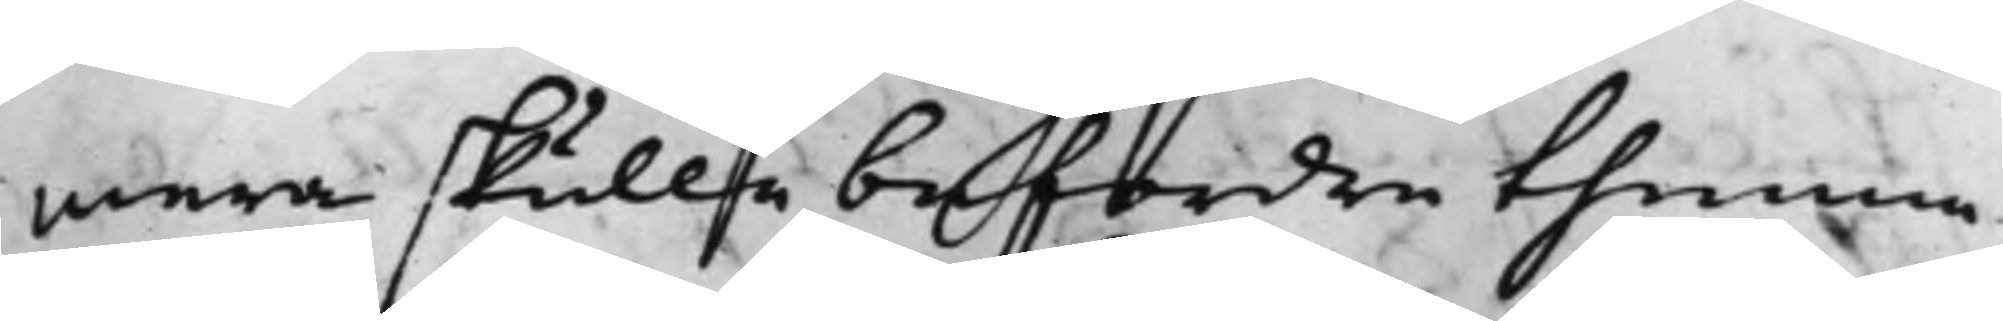mera skulle befordre thenna
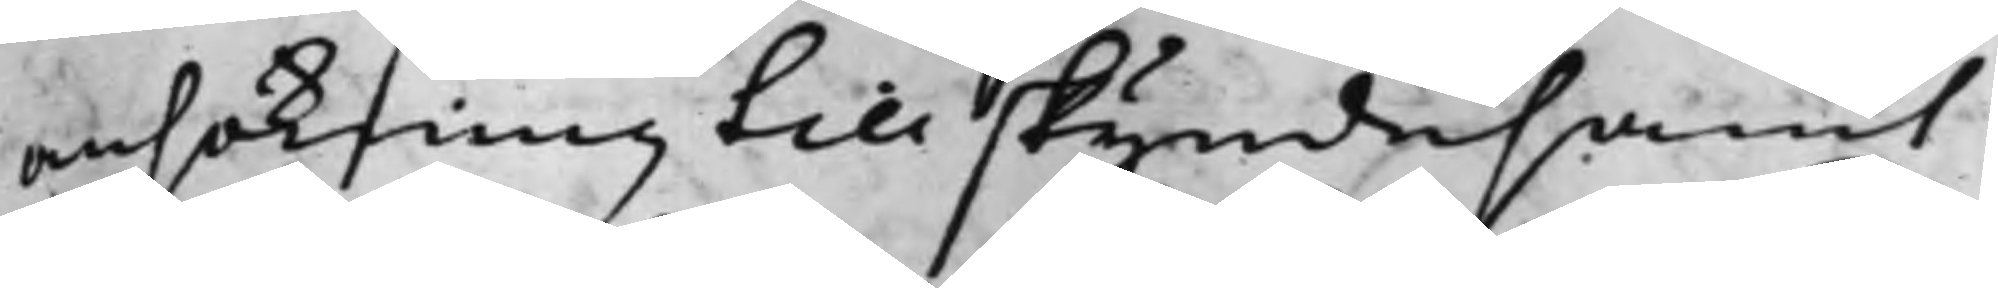ansökning till skyndesamt
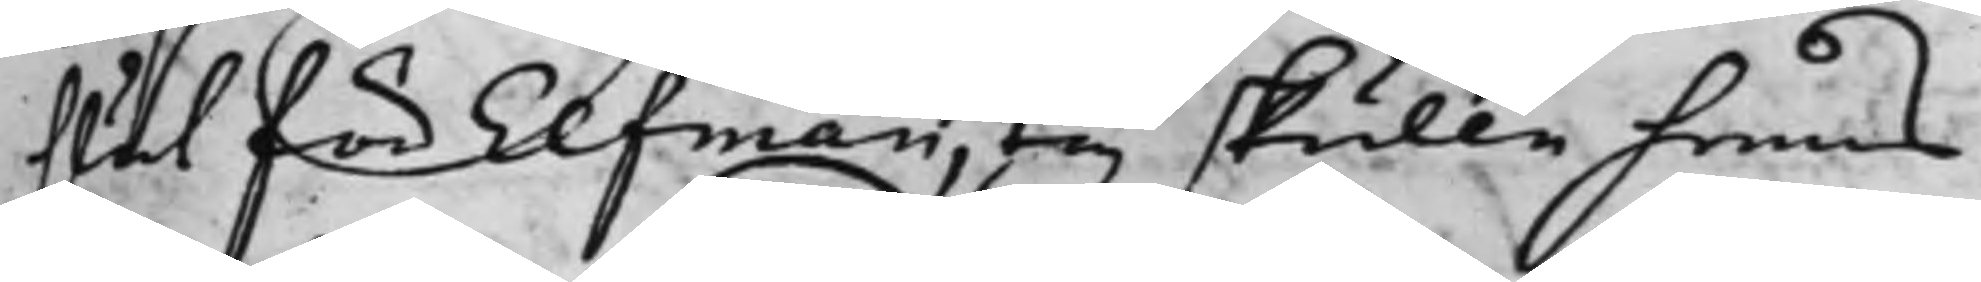slut för Elfman, ty skulle hennes
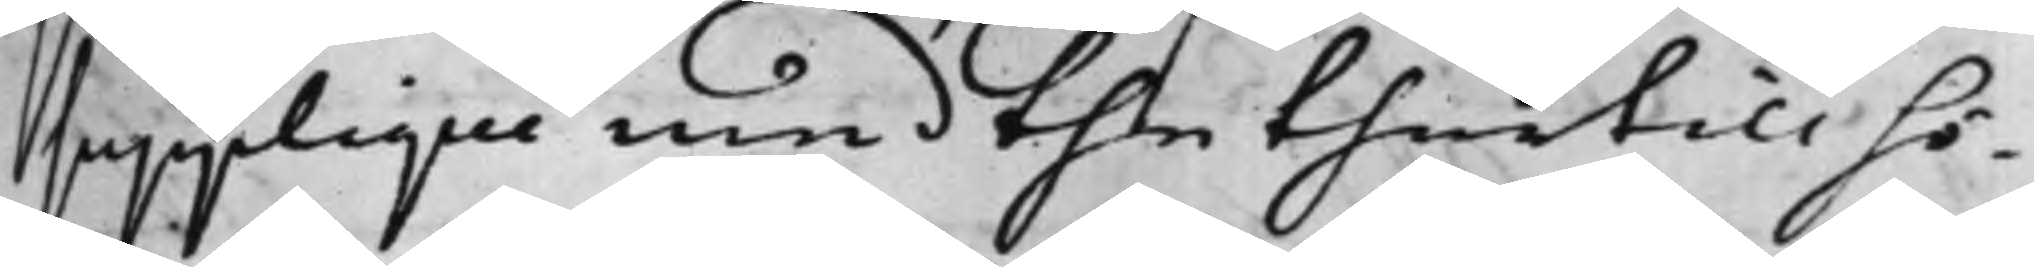Supplique med the thertill hö¬
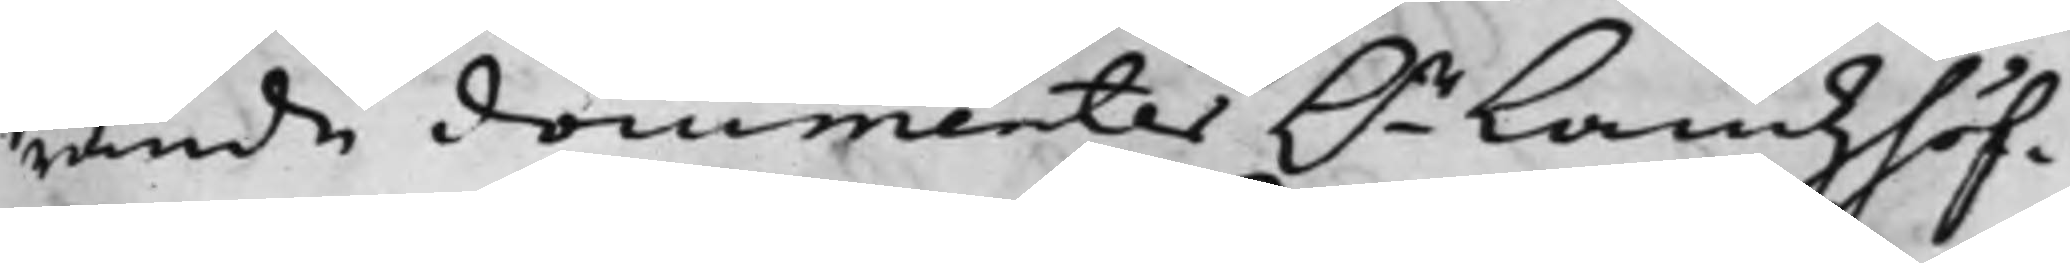rande documenter h.r Landzhöf¬
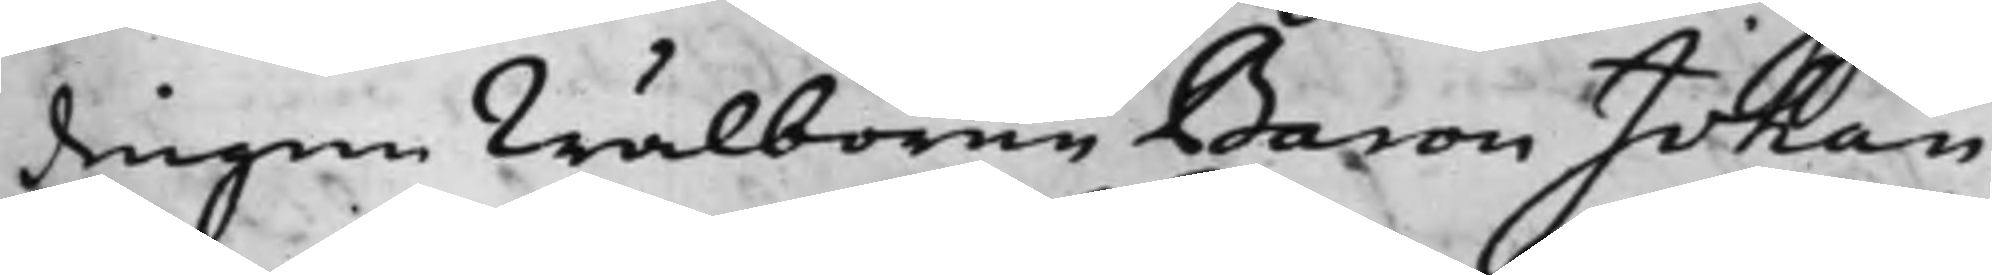dingen Wälborne Baron Johan
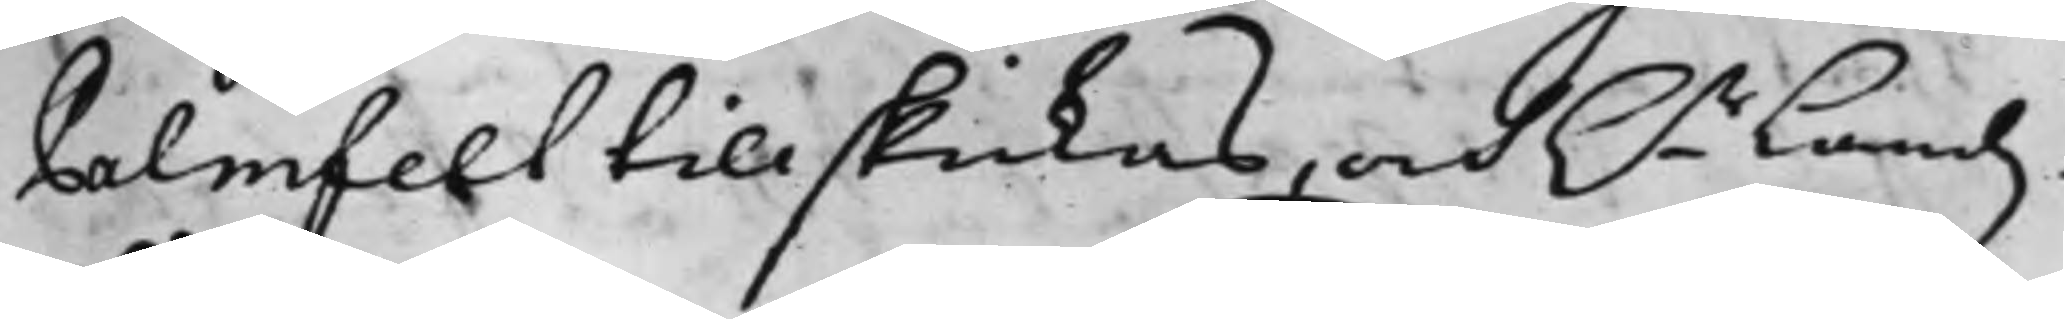Palmfelt tillskickas, och h.r Landz¬
